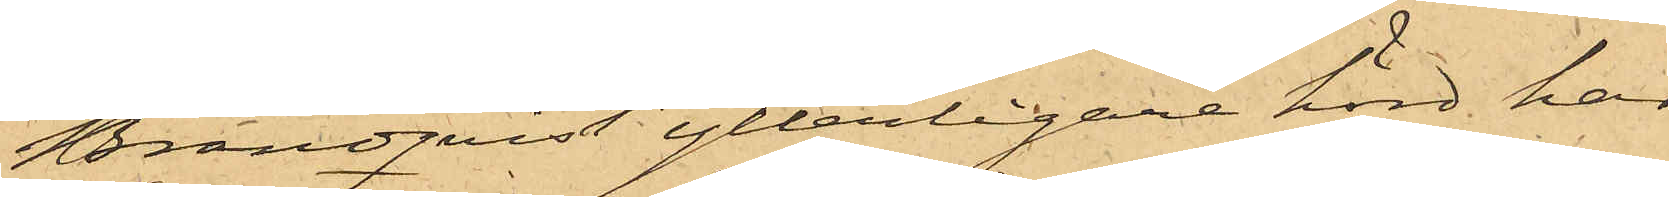Brandqvist ytterligare hörd har
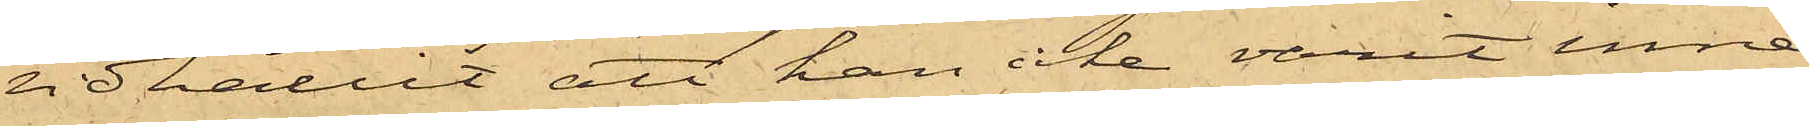vidhållit att han icke varit inne
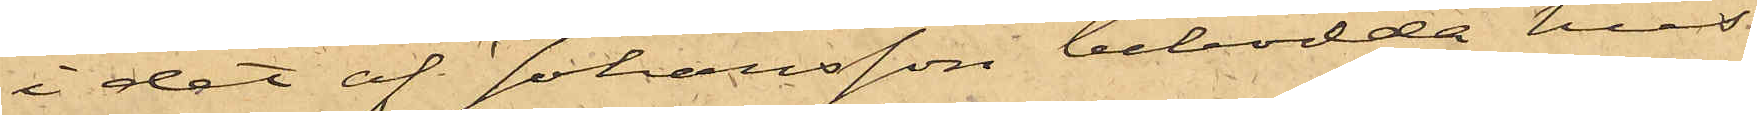i det af Johansson bebodda hus
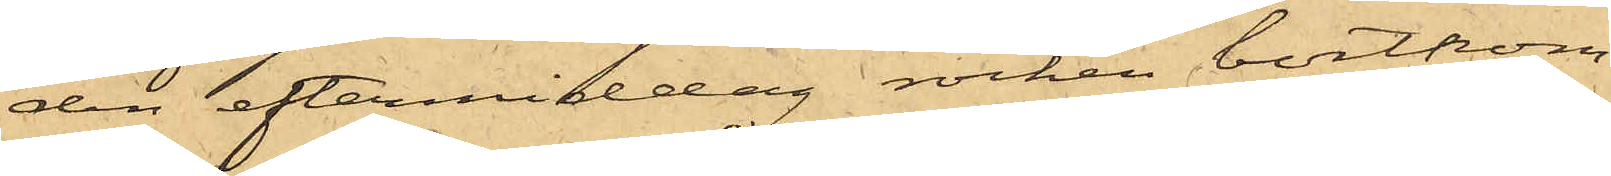den eftermiddag rocken bortkom¬
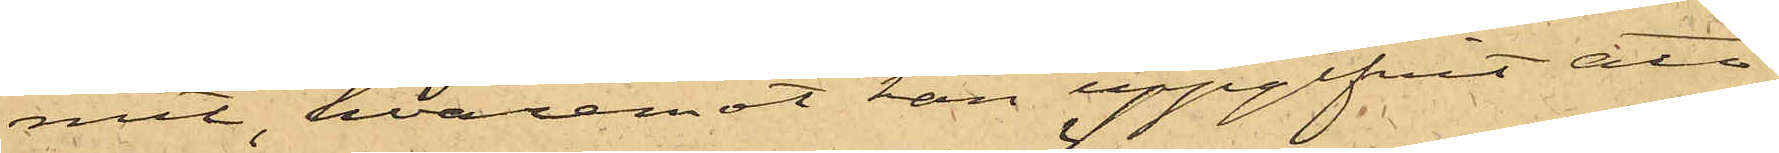mit, hvaremot han uppgifvit att
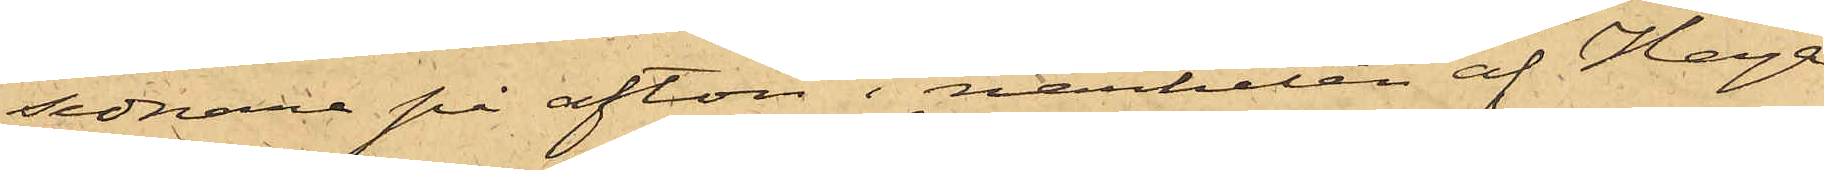sednare på afton i närheten af Haga
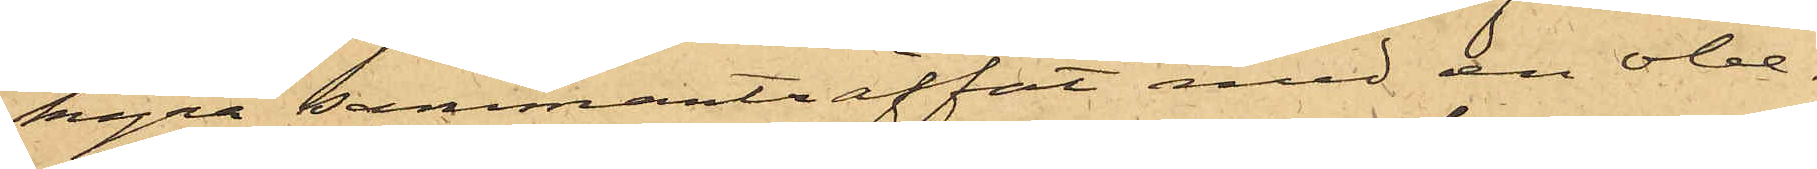kyra sammanträffat med en obe¬
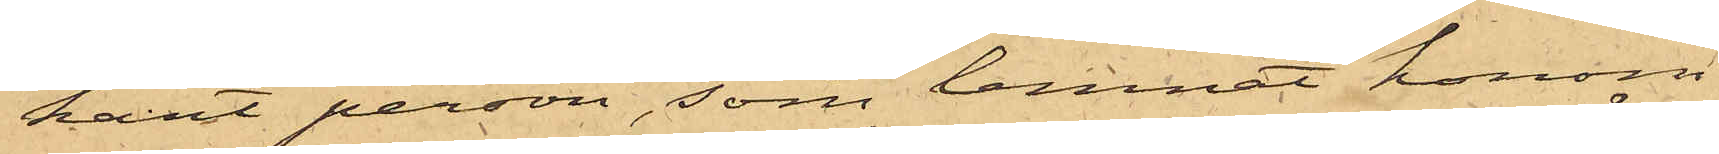kant person, som lemnat honom
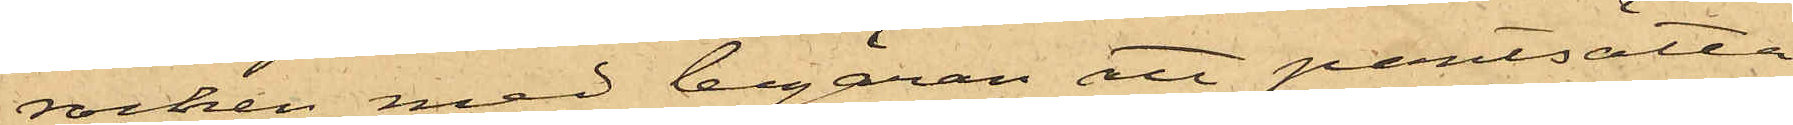rocken med begäran att pantsatta
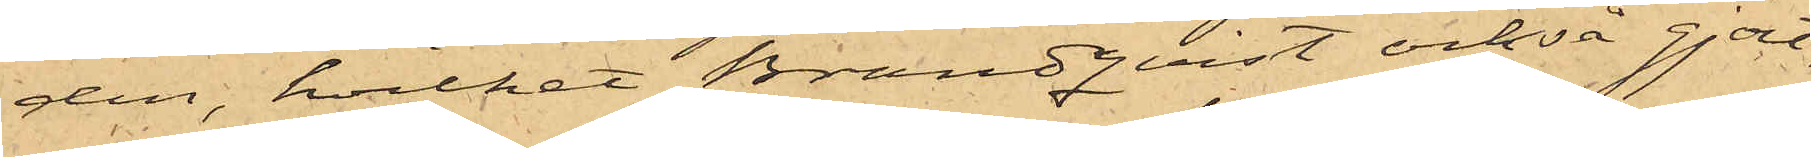den, hvilket Brandqvist också gjort,
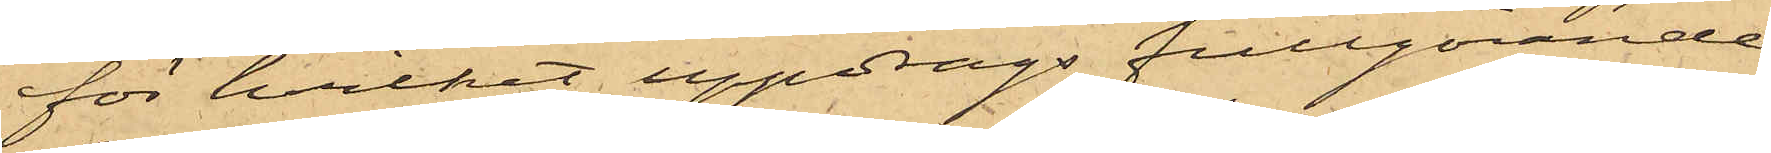för hvilket uppdrags fullgörande
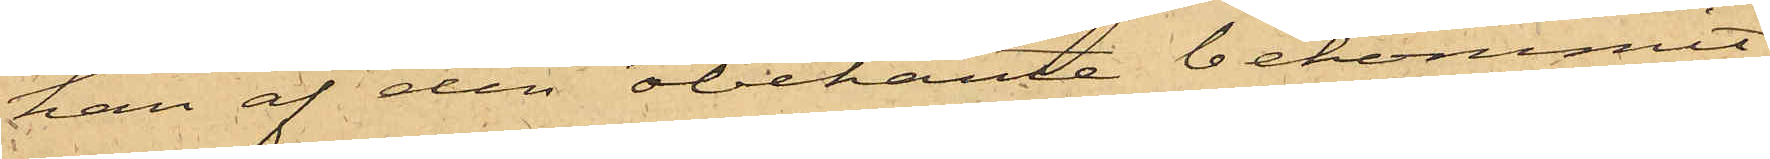han af den obekante bekommit
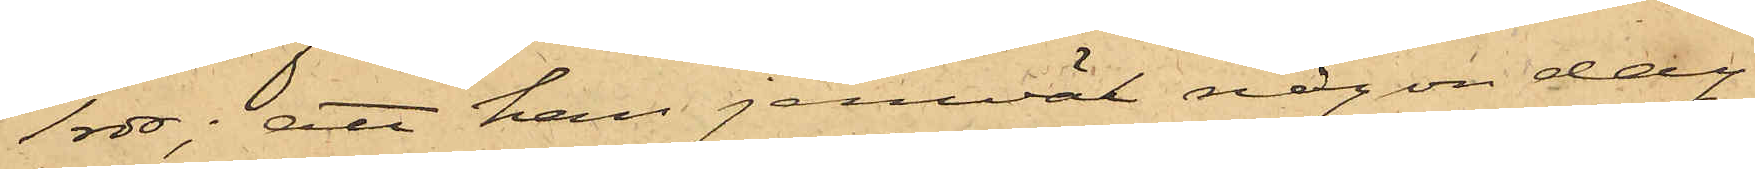1 rdr; att han jemväl någon dag
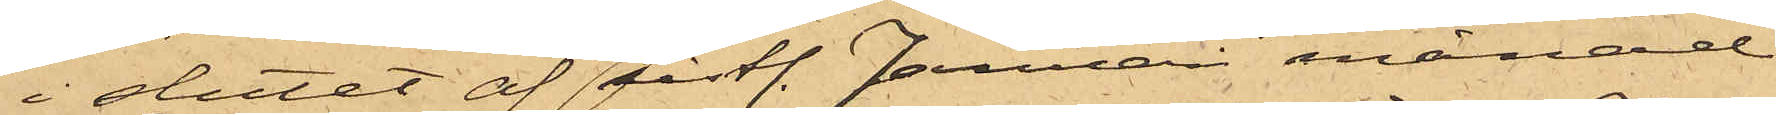i slutet af sistl. Januari månad
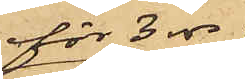för 3 rdr
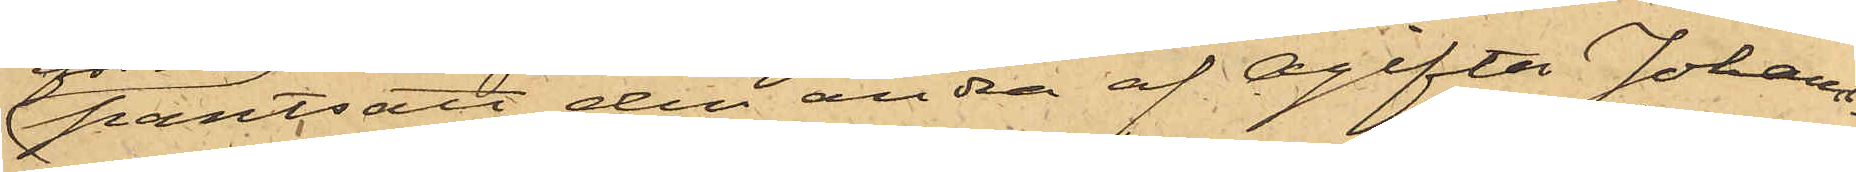pantsatt den andra af Ogifta Johans¬
